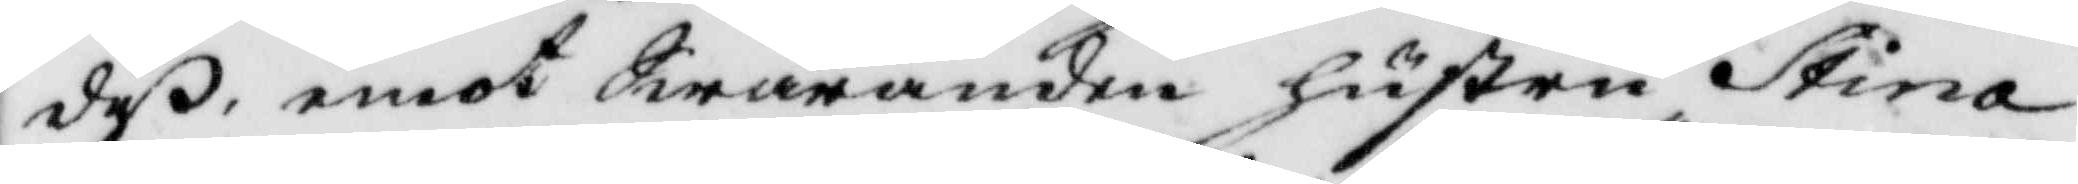deß, emot Swaranden hustru Stina
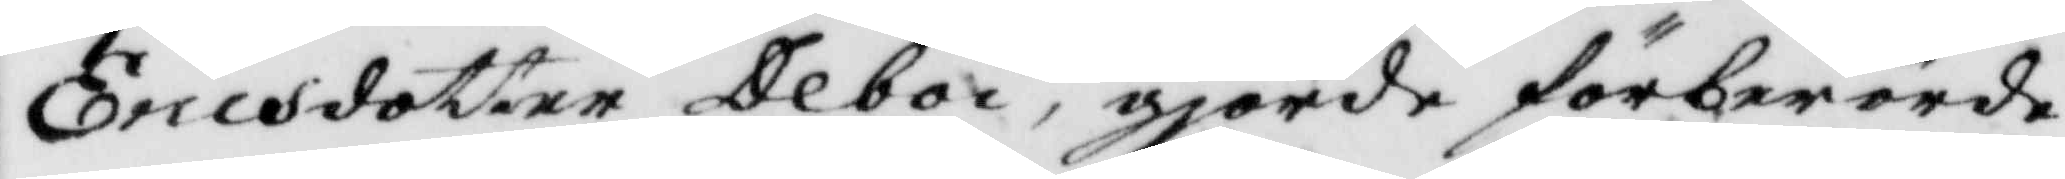Ericsdotter Deboi, gjorde förberörde
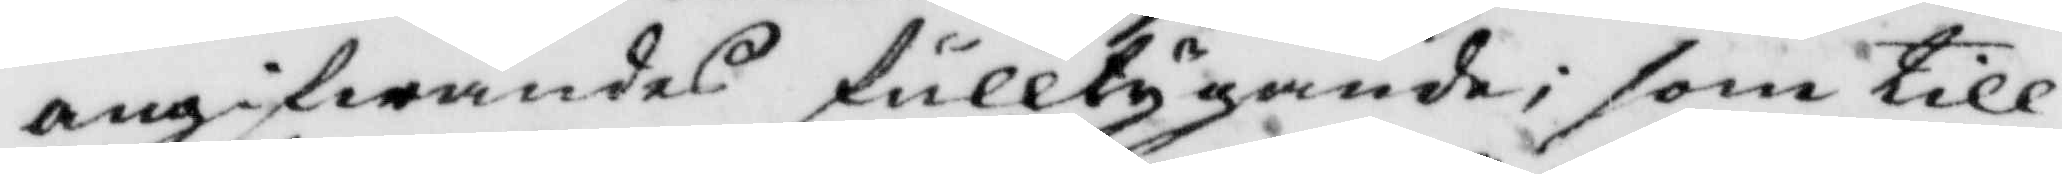angifwandes fulltygande; som till
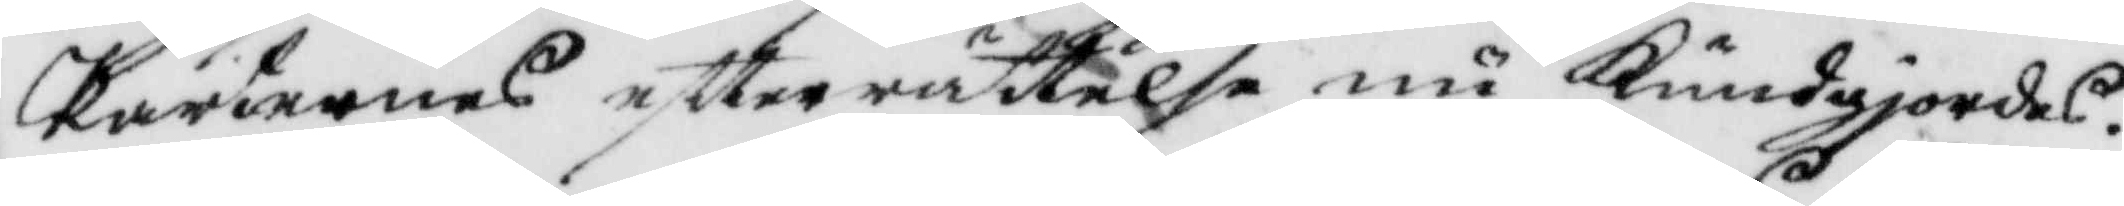Parternes eftterrättelse nu Kundgjordes.
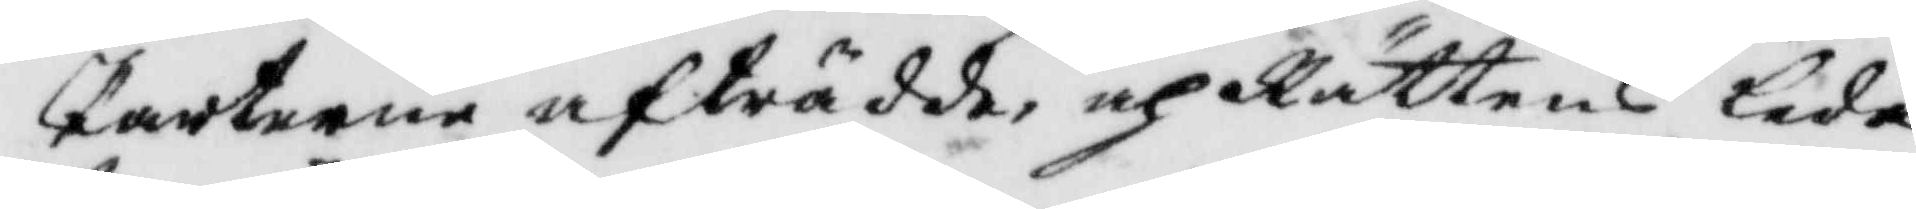Parterne afträdde, och Rättens leda¬
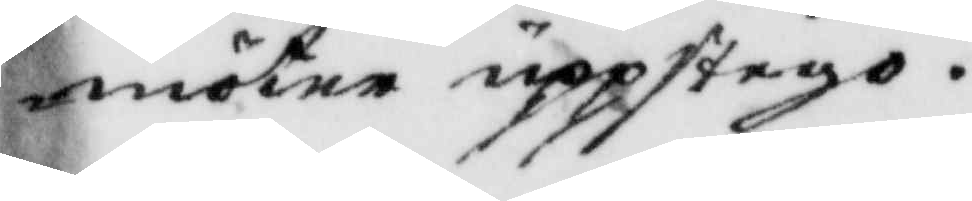möter upptogo.
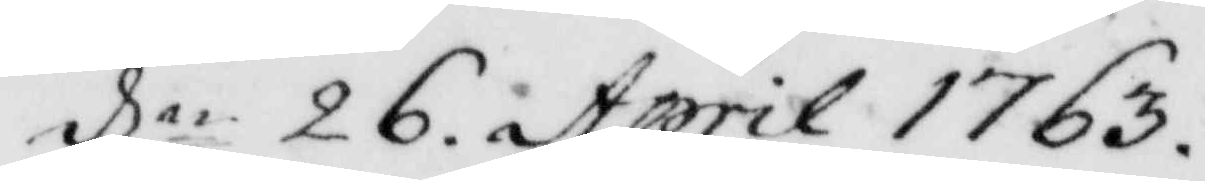dln 26. April 1763.
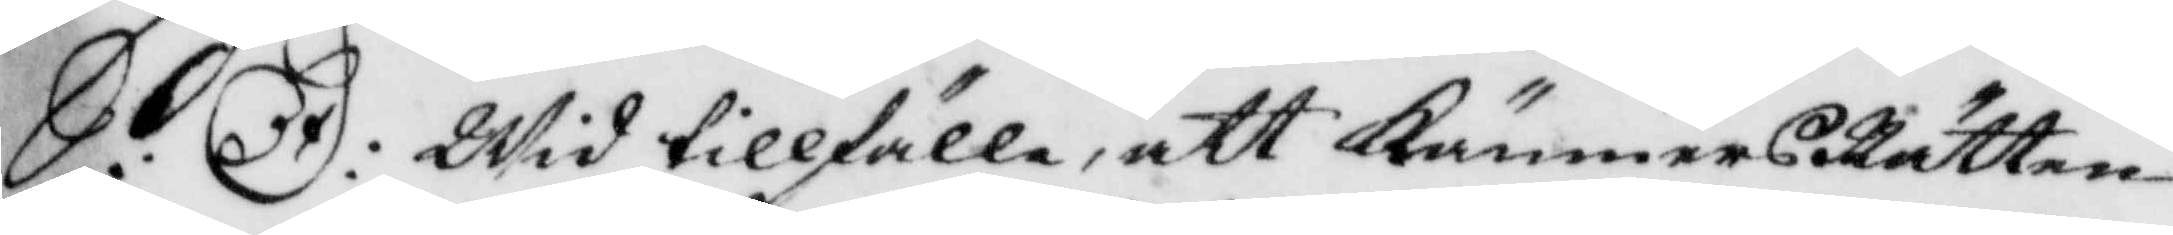S:D: Wid tillfälle, att KämnersRätten
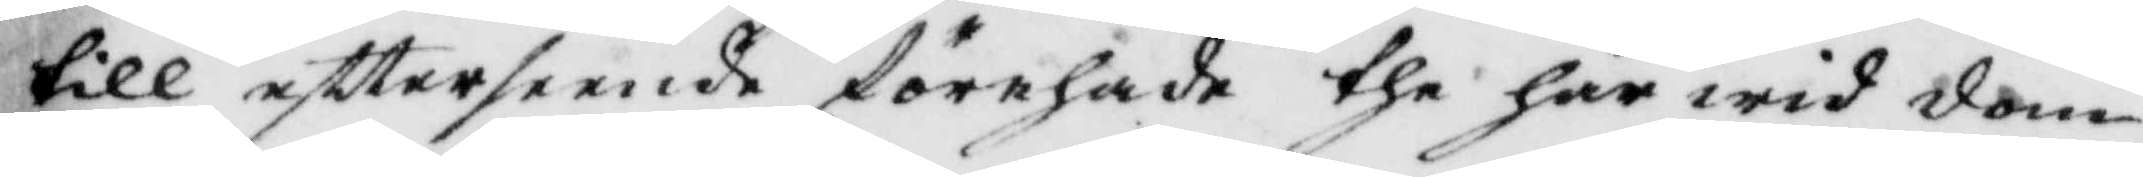till eftterseende förehade the här wid dom¬
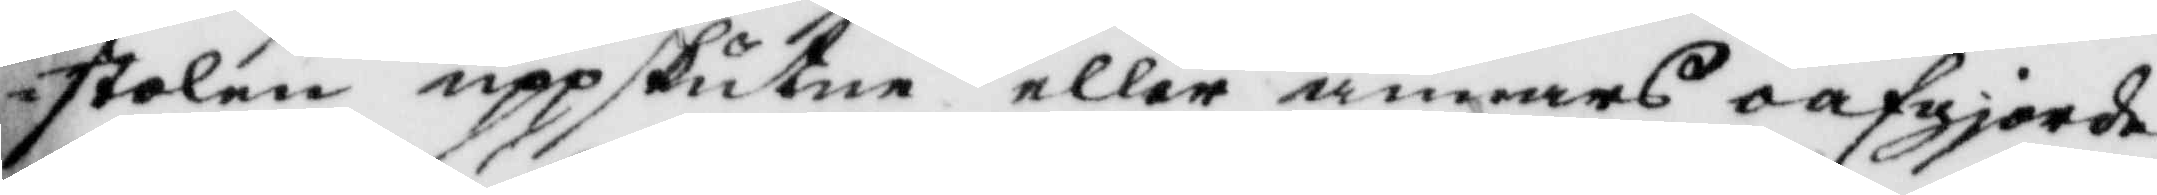stolen uppskutne eller annars oafgjorde
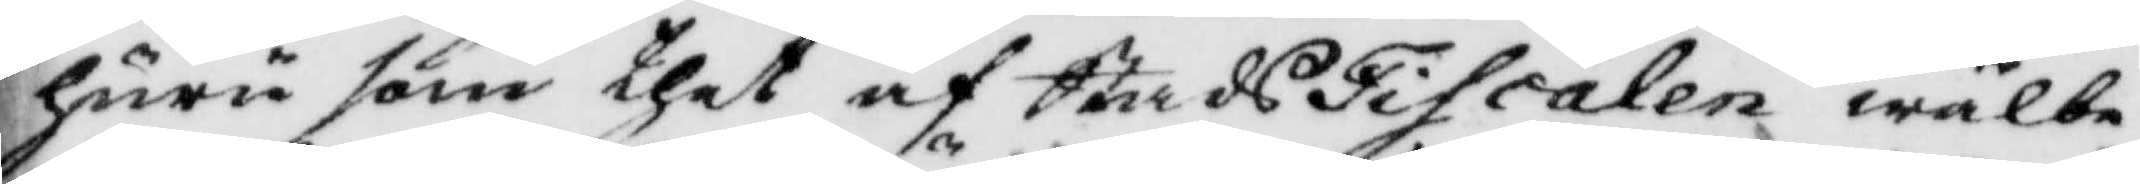huru som thet af StadzFiscalen wälbe¬
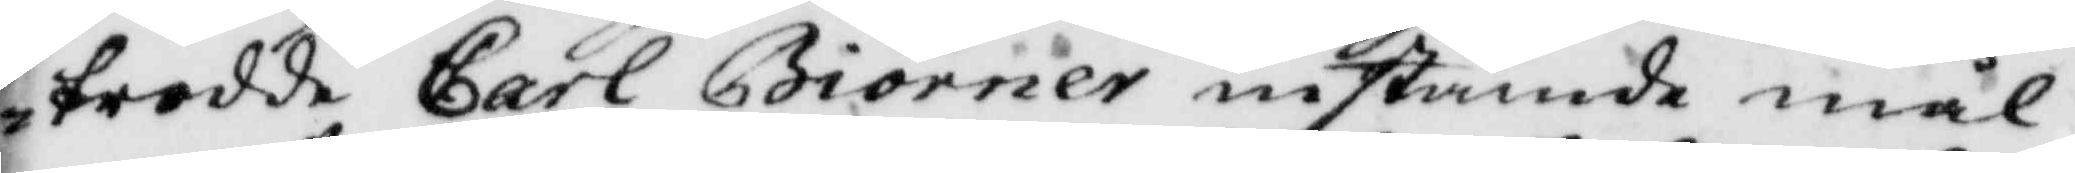trodde Carl Biörner instämde mål,
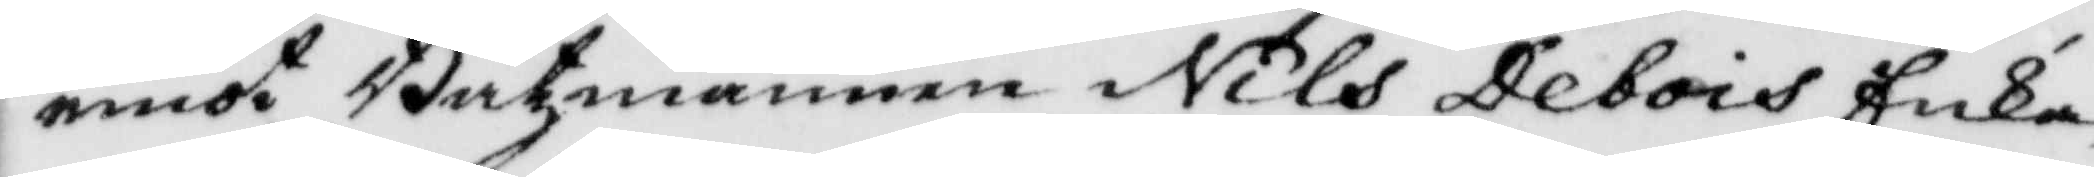emot Båtzmannen Nils Debois Enka
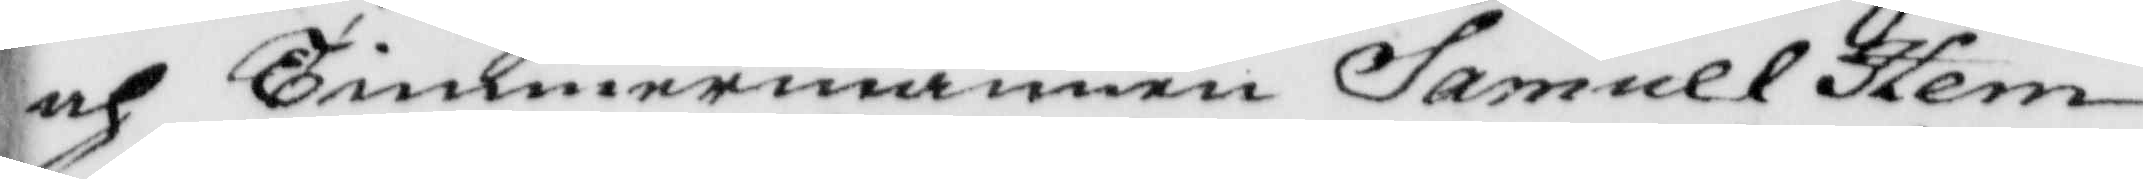och Timmermannen Samuel Hem¬
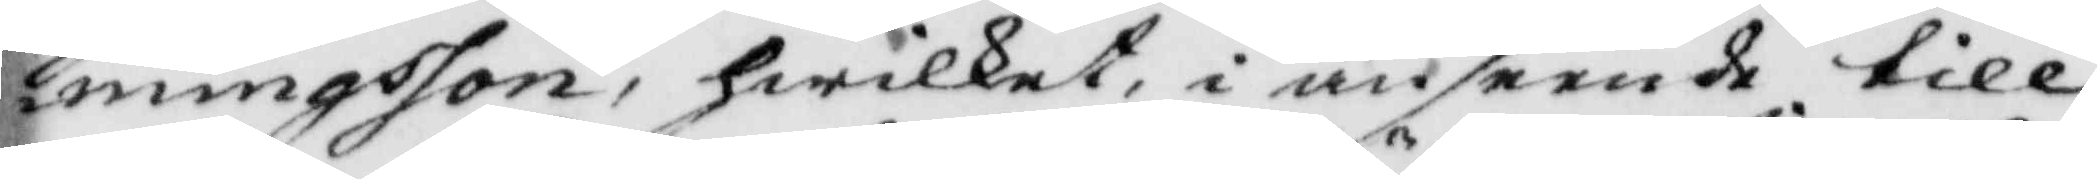mingsson, hwilket i anseende till
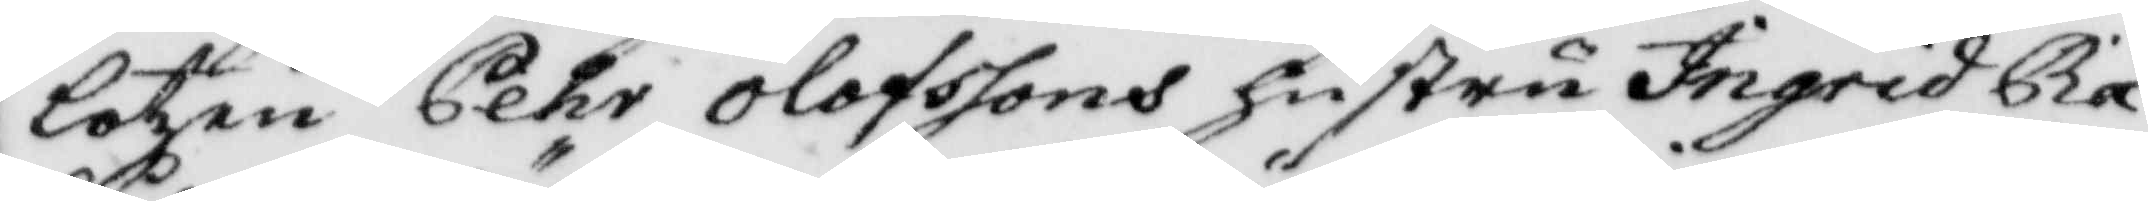lotzen Pehr Olofssons hustru Ingrid Rå¬
